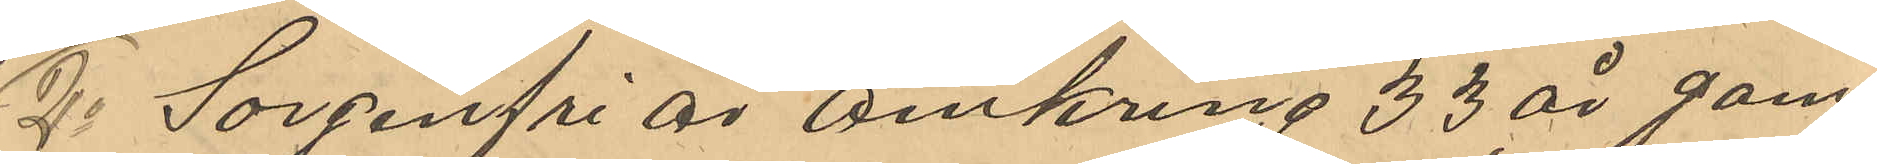2o Sorgenfri är omkring 33 år gam¬
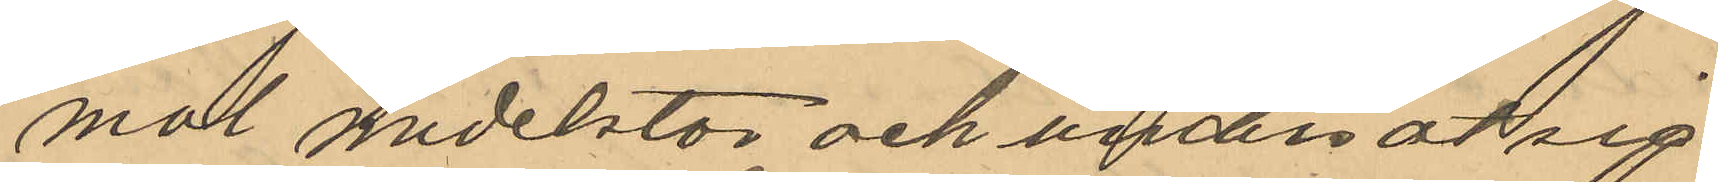mal medelstor och undersätsig
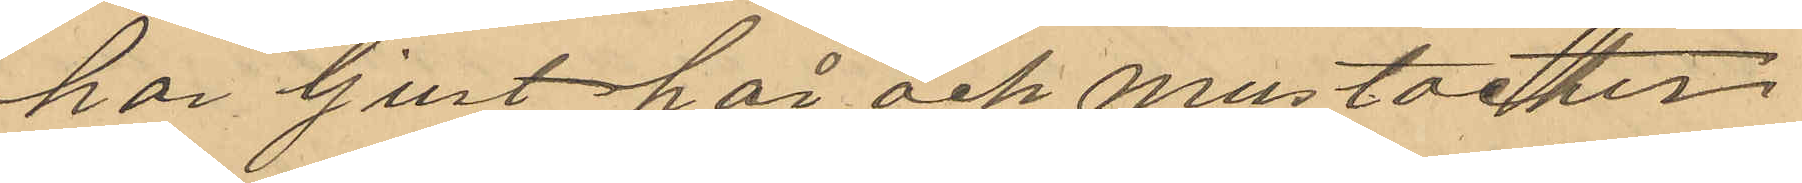har ljust hår och mustacher
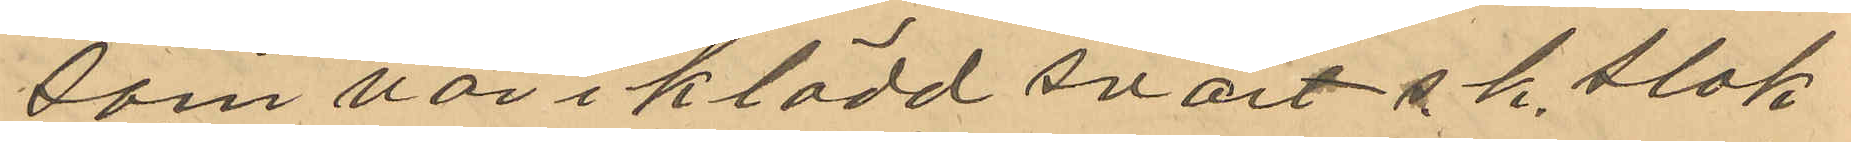som var i klädd svart s.k. slok¬
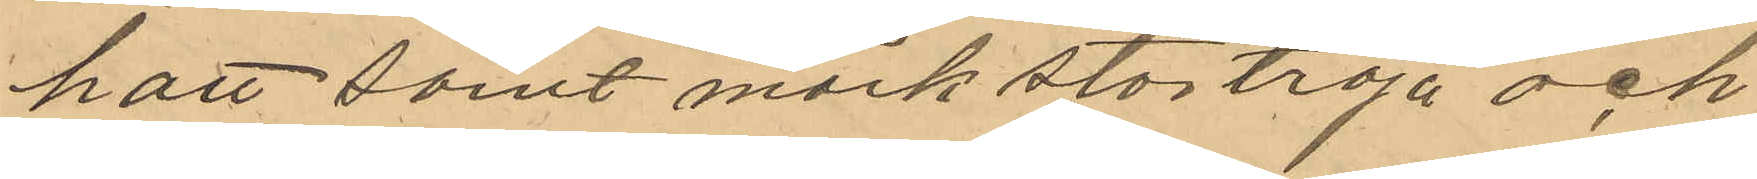hatt, samt mörk stortröja och
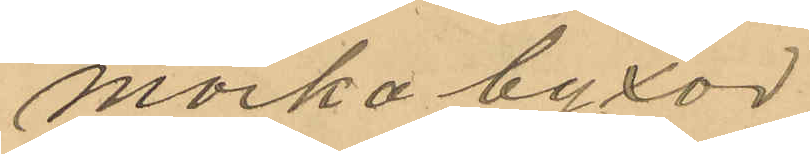mörka byxor
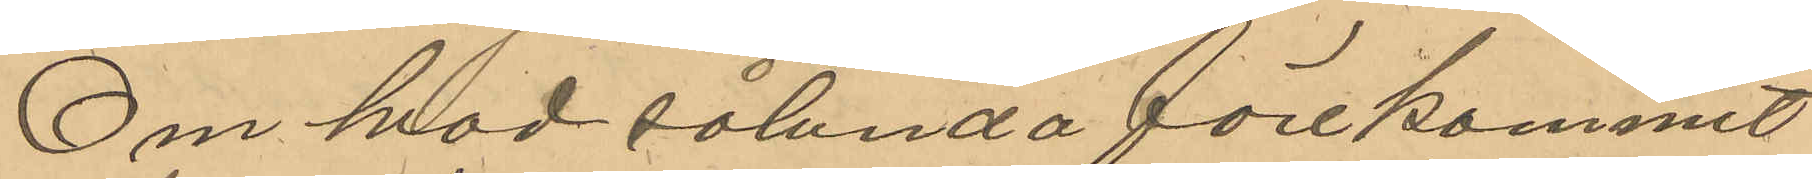Om hvad sålunda förekommit
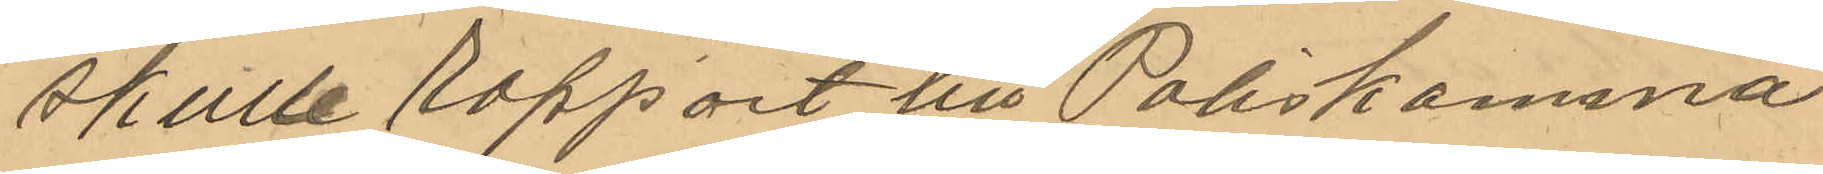skulle rapport till Poliskamma¬
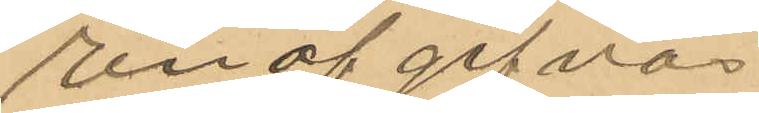ren af gifvas
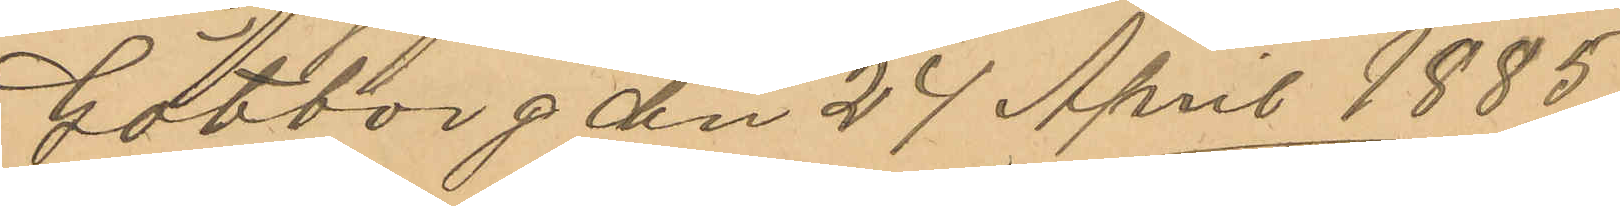Götborg den 24 April 1885.
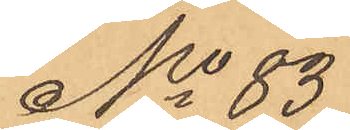No 83
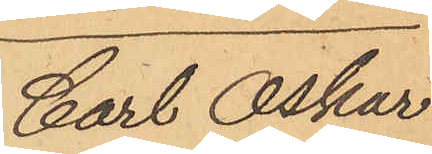Carl Oskar
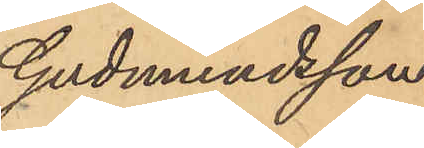Gudmundsson.
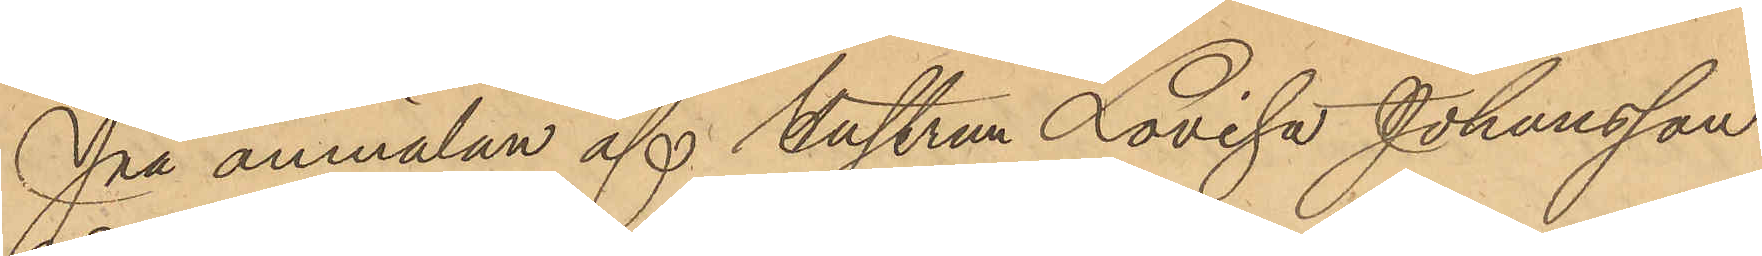på anmälan af hustrun Lovisa Johansson
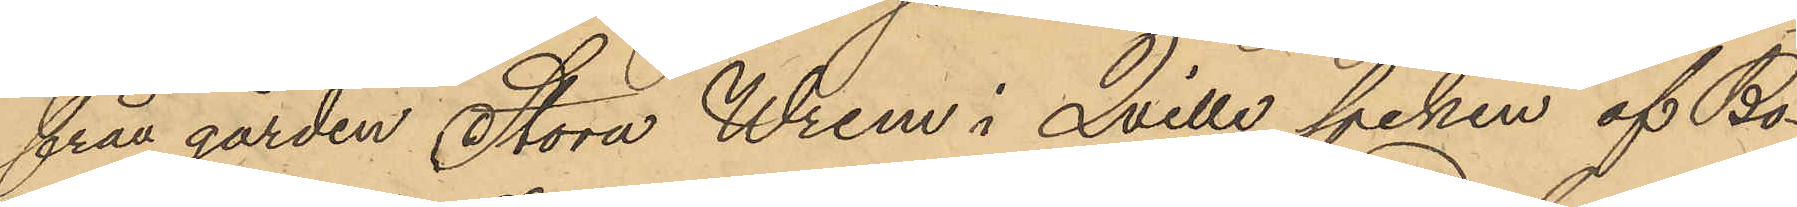från gården Stora Wrem i Qville socken af Bo¬
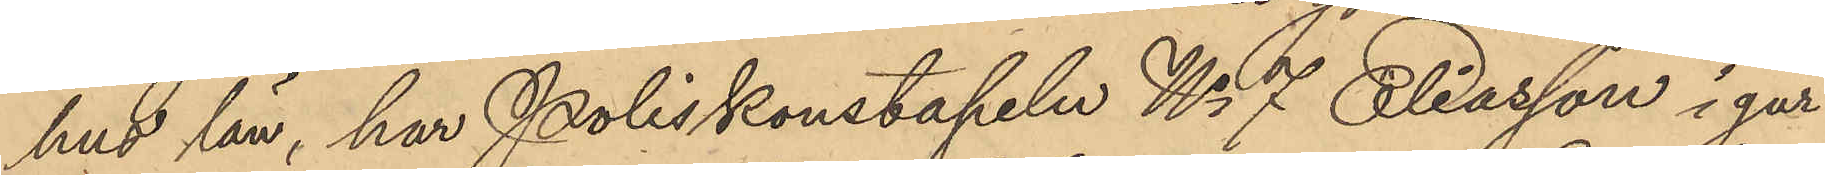hus län, har Poliskonstapeln No 7 Eliasson i går
